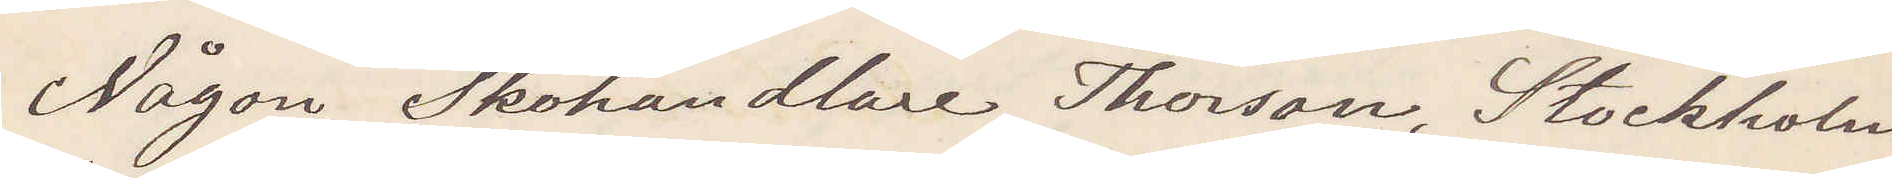någon Skohandlare Thorson, Stockholm
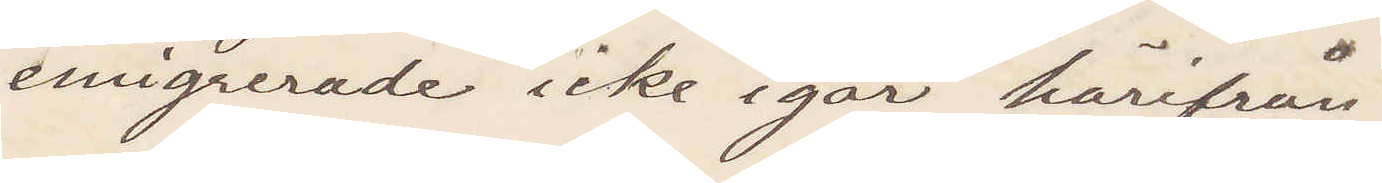emigrerade icke igår härifrån.
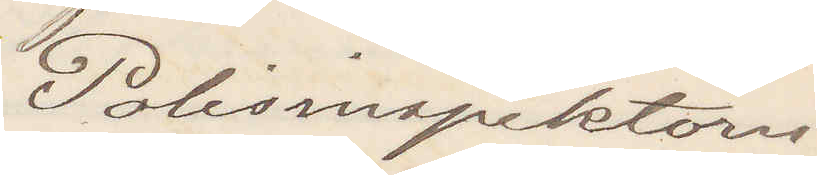Polisinspektorn
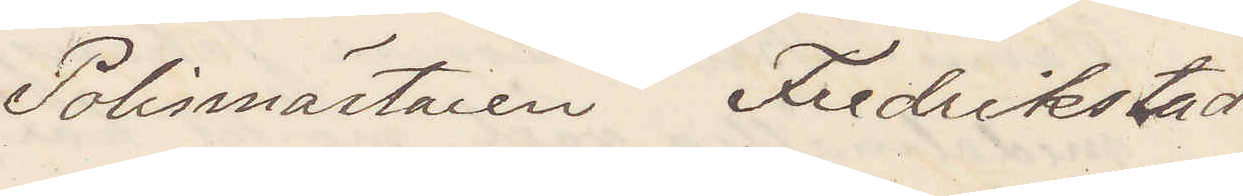Polismästaren Fredriksstad
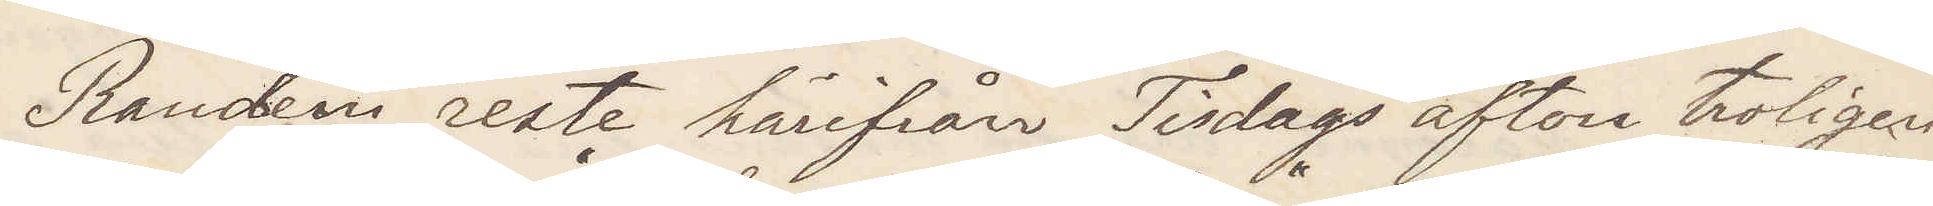Randem reste härifrån Tisdags afton troligen
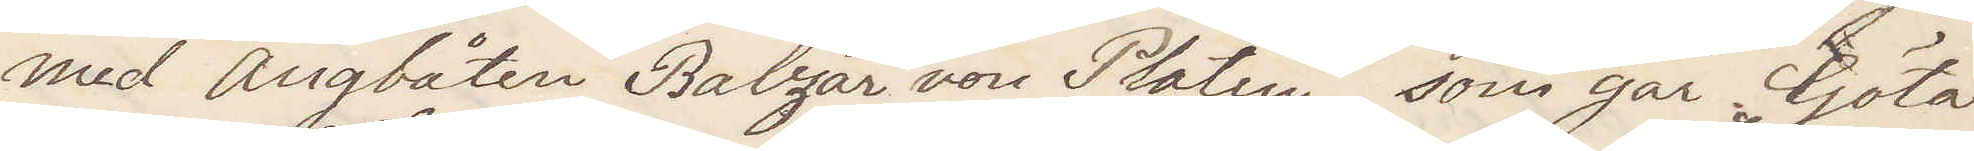med Ångbåten Balzar von Platen, som går Göta
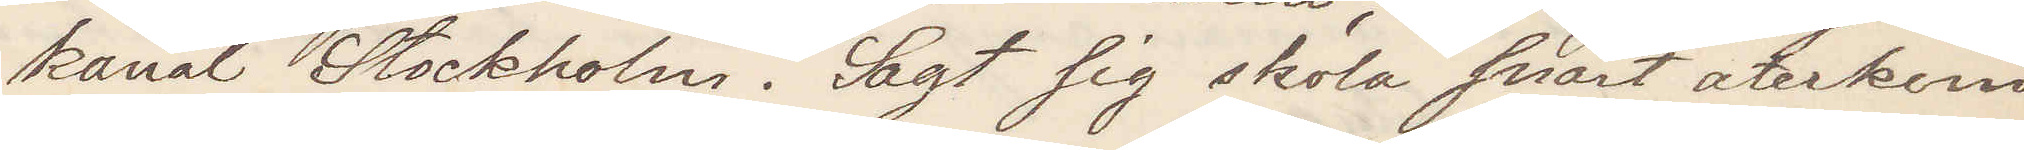kanal Stockholm. Sagt sig skola snart återkom¬
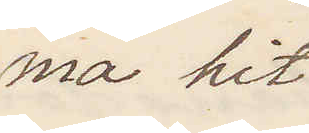ma hit
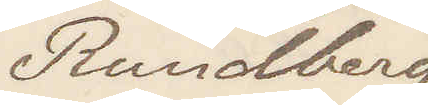Rundberg
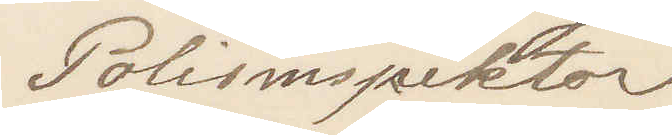Polisinspektor
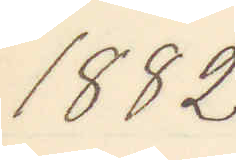1882
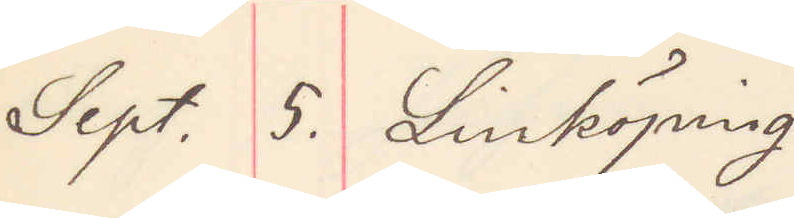Sept. 5. Linköping
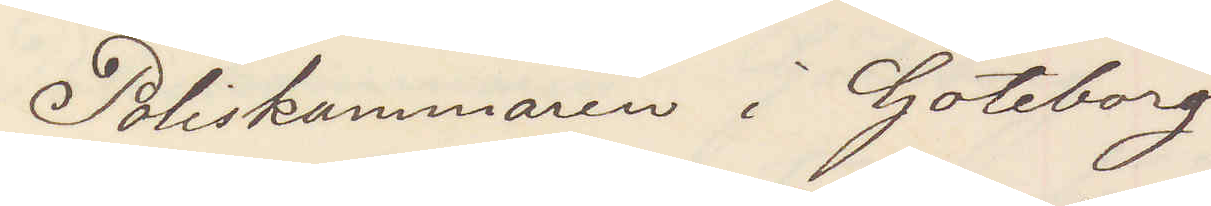Poliskammaren i Göteborg
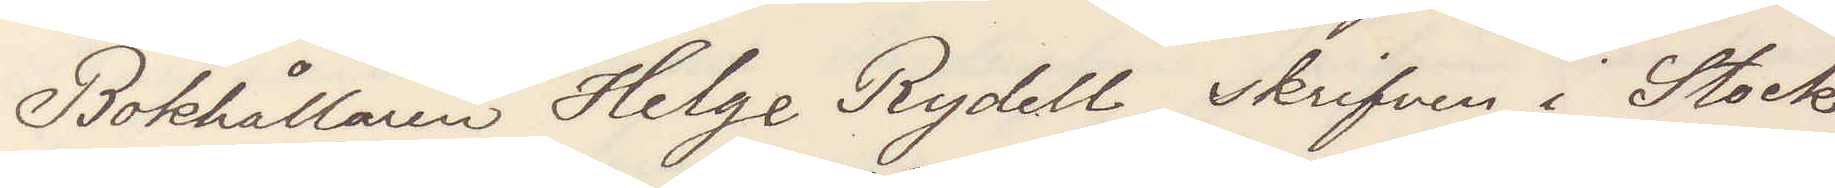Bokhållaren Helge Rydell skrifven i Stock¬
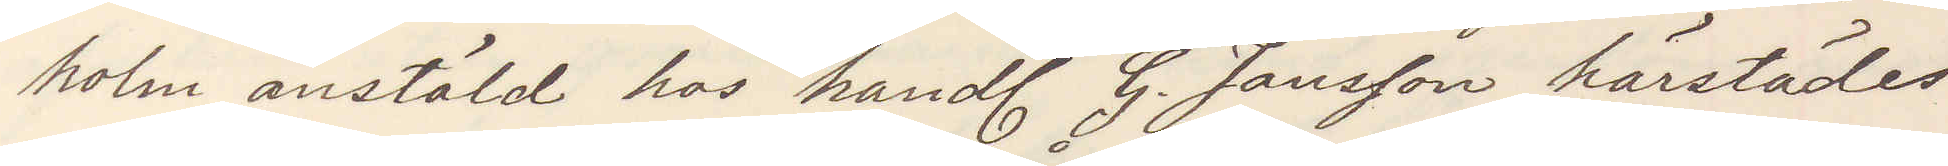holm anstäld hos handl G. Jansson härstädes
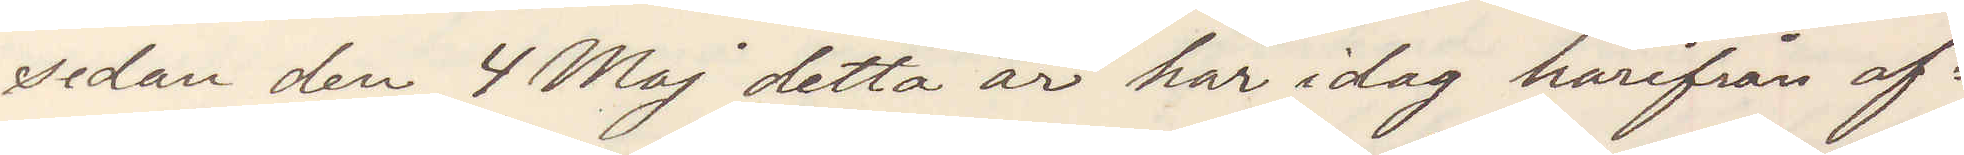sedan den 4 Maj detta år har idag härifrån af¬
